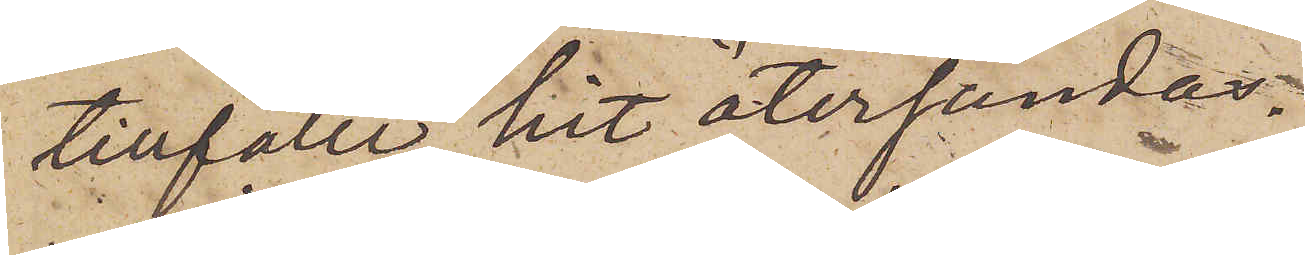tillfälle hit återsändas.
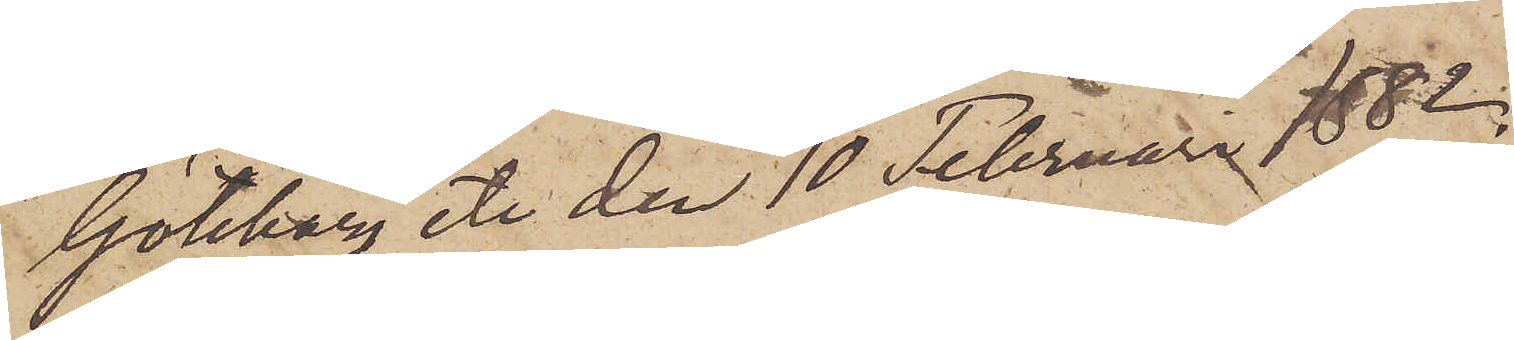Göteborg etc den 10 Februari 1882.
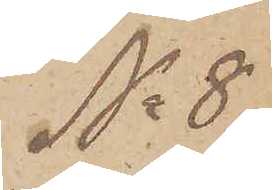No 8.
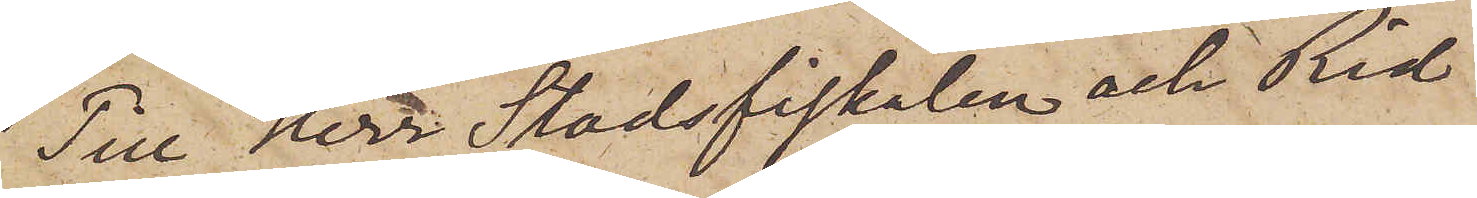Till Herr Stadsfiskalen och Rid¬
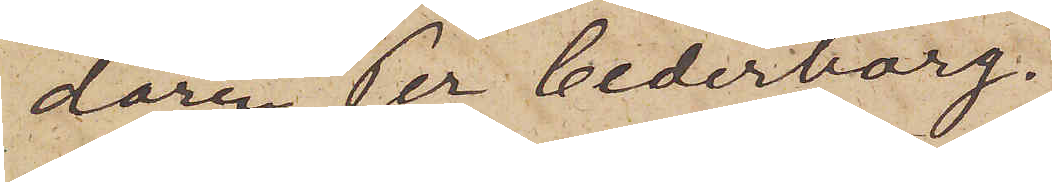daren Per Cederborg.
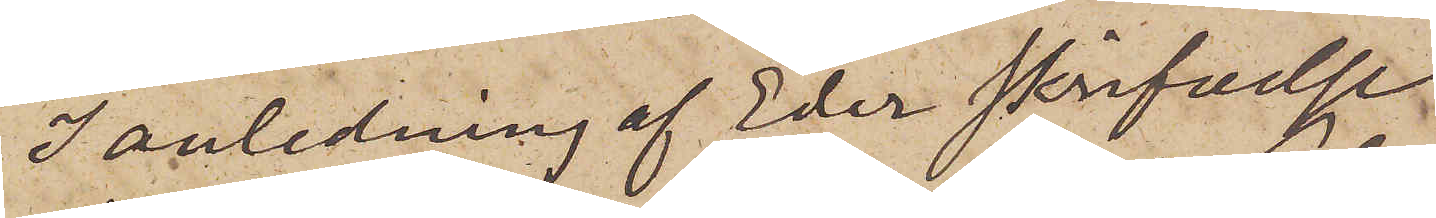I anledning af Eder skrifvelse
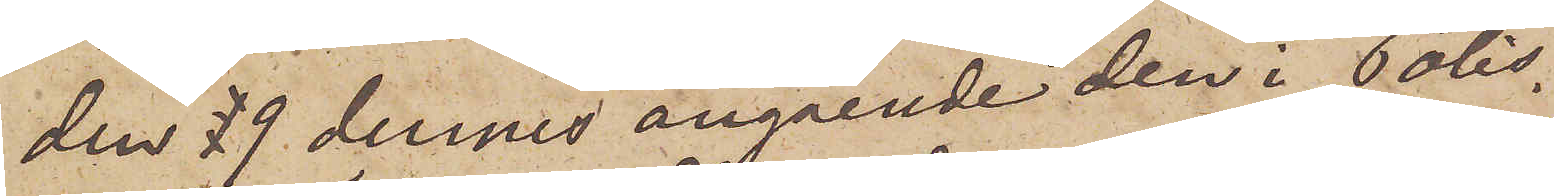den 9 dennes angående den i Polis¬
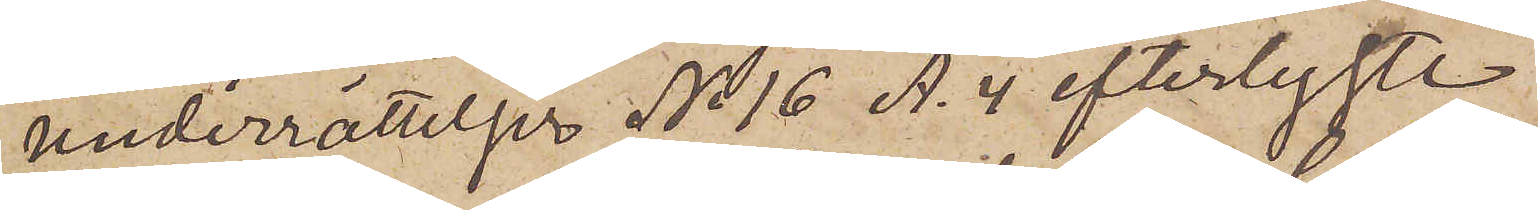underrättelser No 16 A. 4 efterlyste
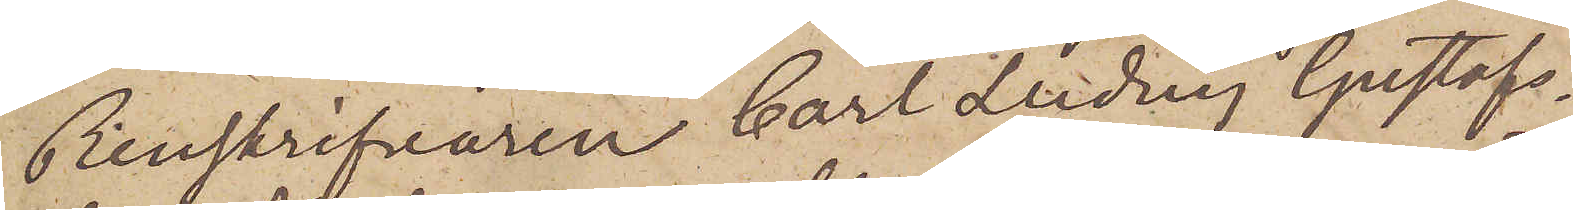Renskrifvaren Carl Ludvig Gustafs¬
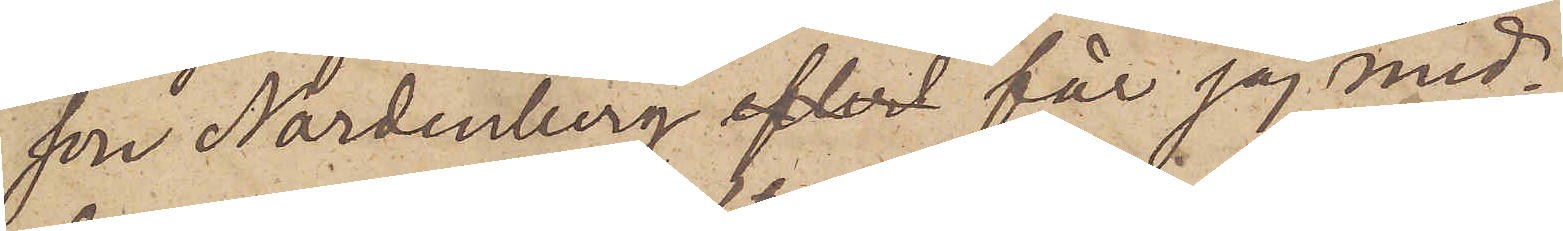son Nordenberg får jag med¬
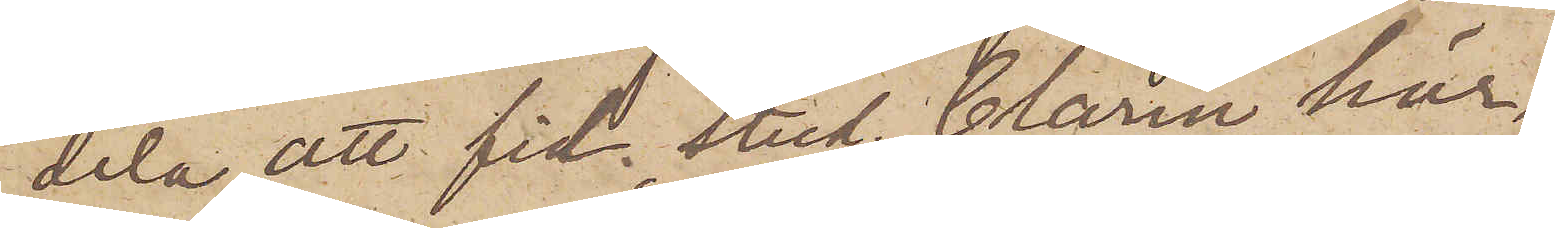dela att fil. stud. Clarin här¬
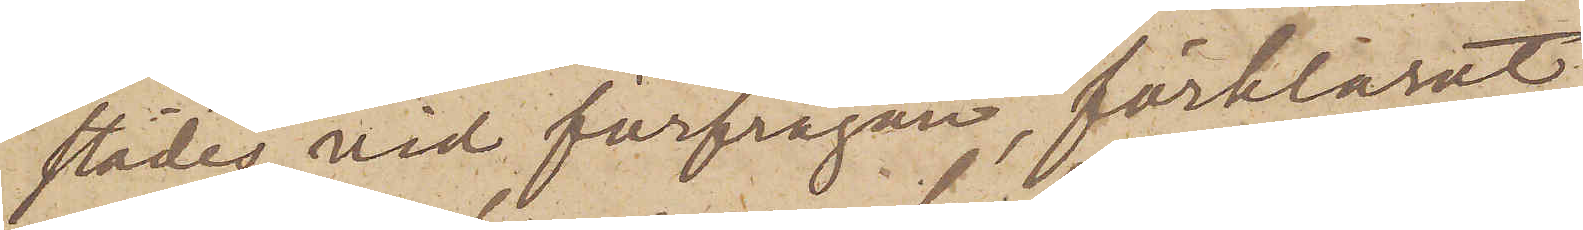städes vid förfrågan, förklarat
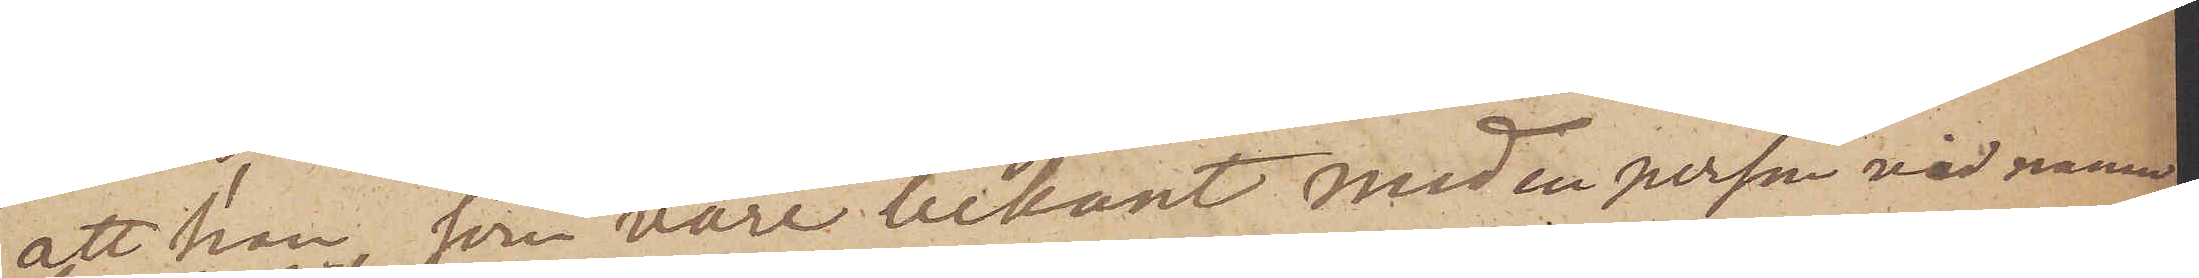att han, som vore bekant med en person vid namn
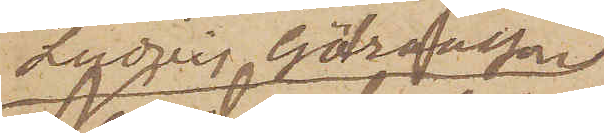Ludvig Göransson
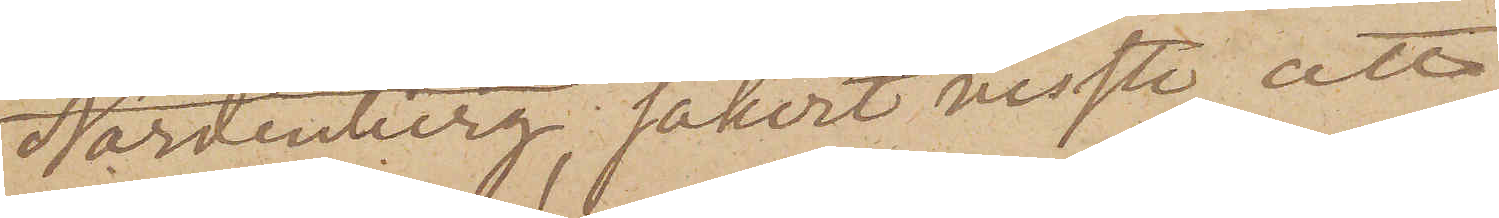Nordenberg, säkert visste, att
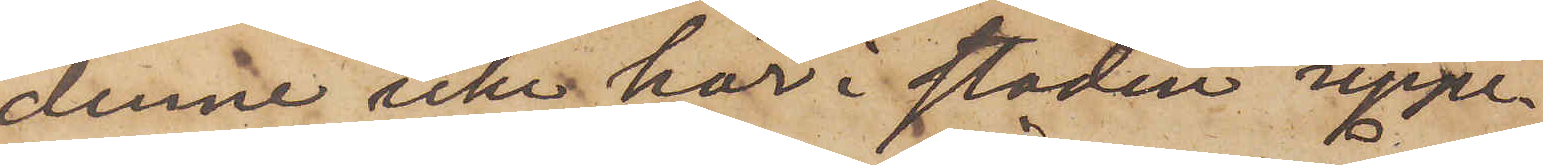denne icke här i staden uppe¬
